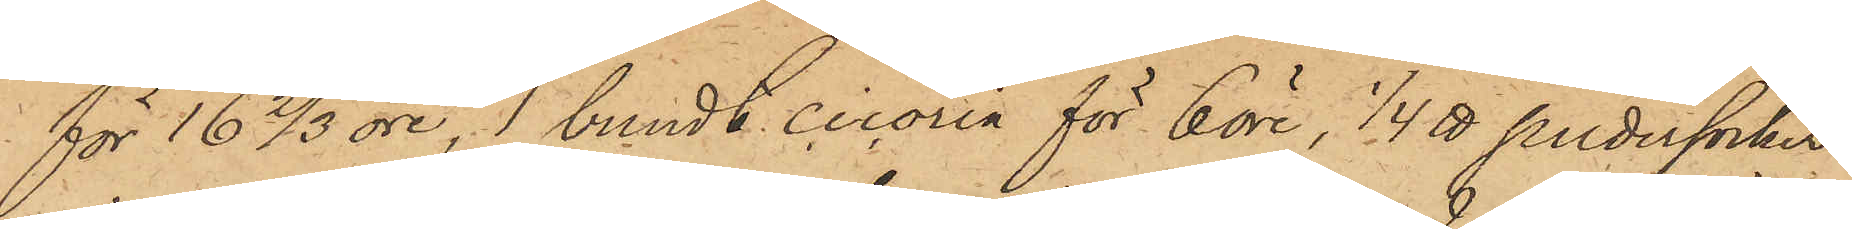för 16 2/3 öre, 1 bundt cicoria för 6 öre, 1/4 ℔ pudersocker
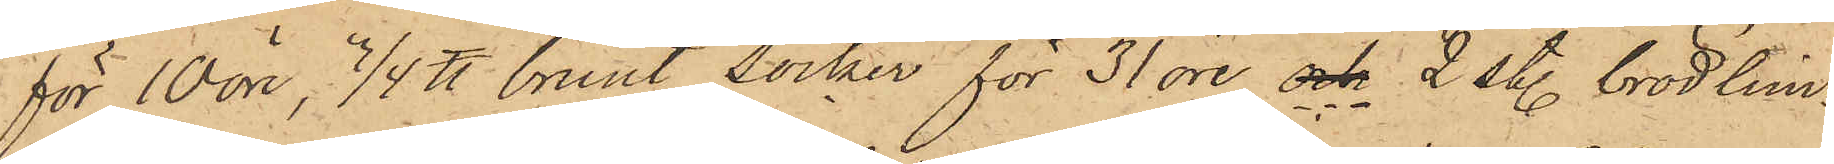för 10 öre, 3/4 ℔ brunt socker för 31 öre och 2 st. brödlim¬
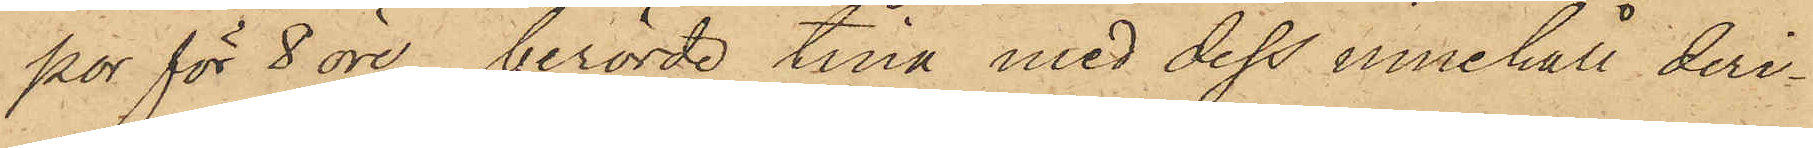por för 8 öre, berörde tina med dess innehåll deri¬
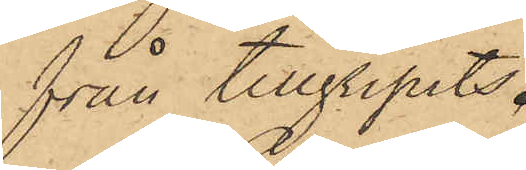från tillgripits.
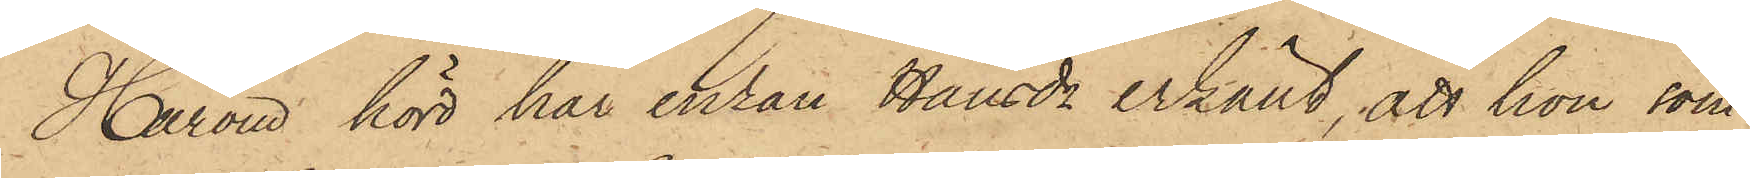Härom hörd har enkan Handr erkänt, att hon, som
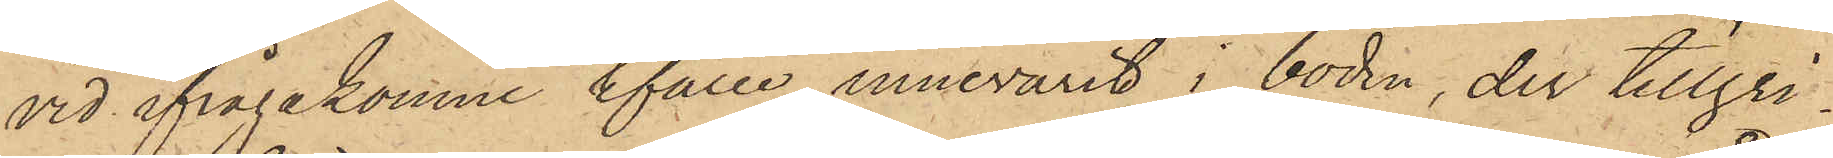vid ifrågakomne tfälle innevarit i boden, der tillgri¬
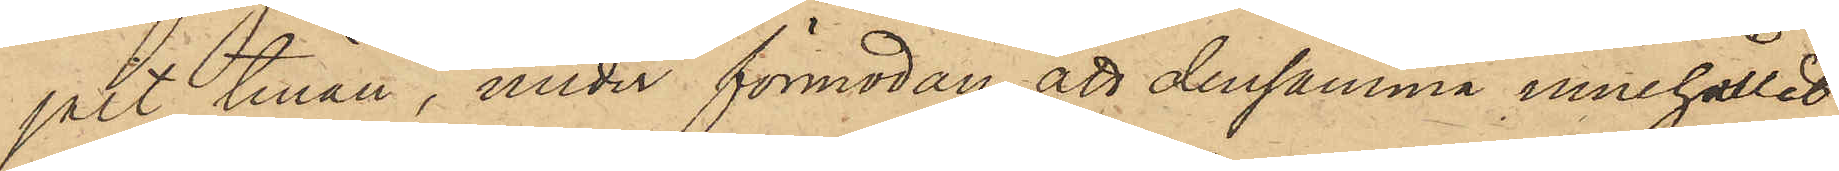gått tinan, under förmodan, att densamma innehållit
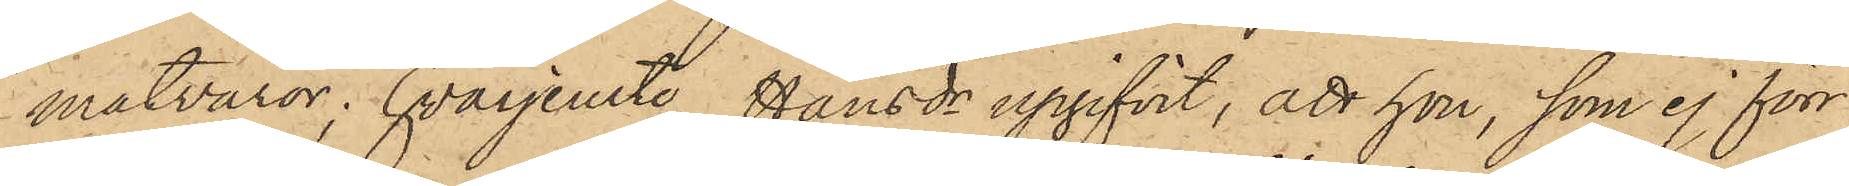matvaror; hvarjemte Hansdr upgifvit, att hon, som ej förr
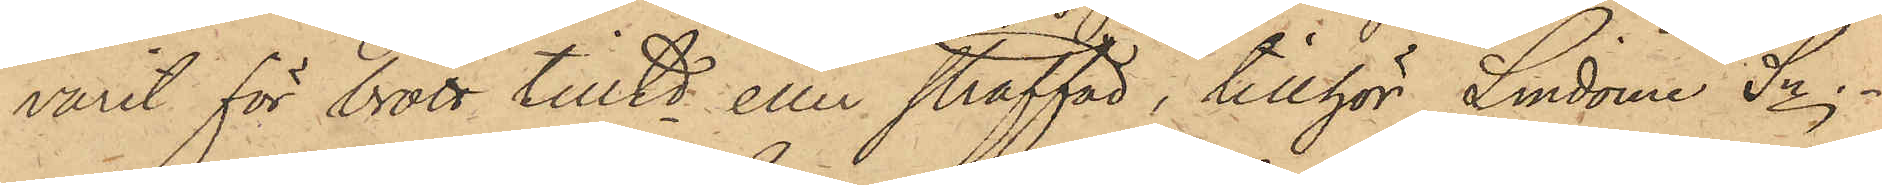varit för brott tilltd eller straffad, tillhör Lindome Sn.
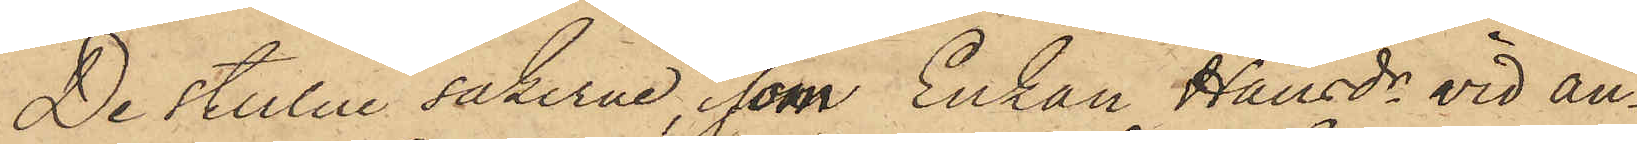De stulne sakerna, som Enkan Hansdr vid an¬
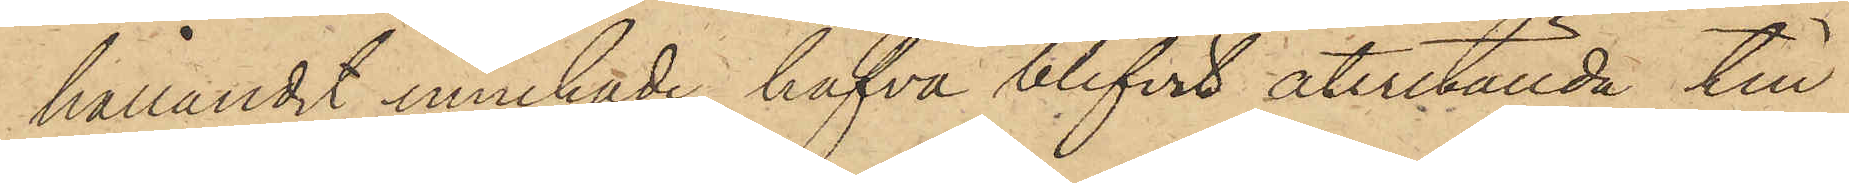hållandet innehade, hafva blifvit återställda till
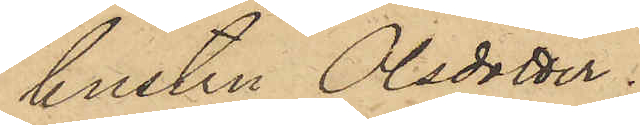hustru Olsdotter.
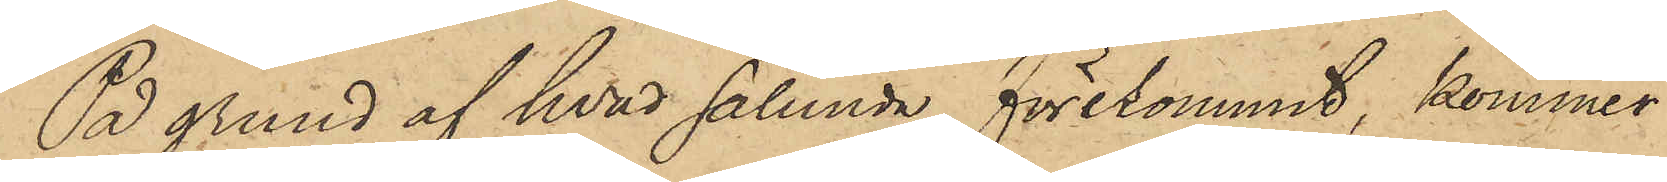På grund af hvad sålunda förekommit, kommer
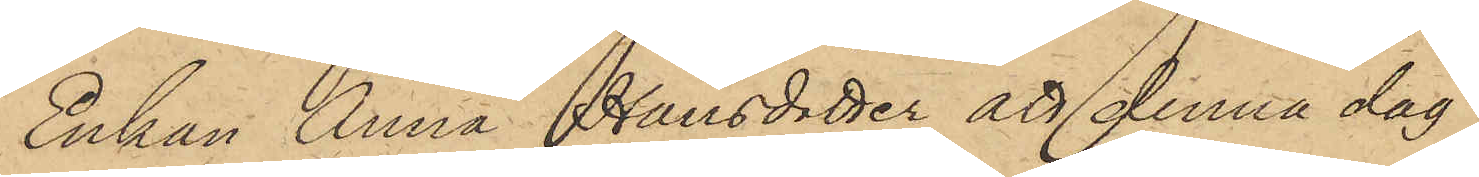Enkan Anna Hansdotter att denna dag
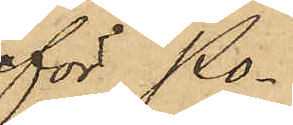för Po¬
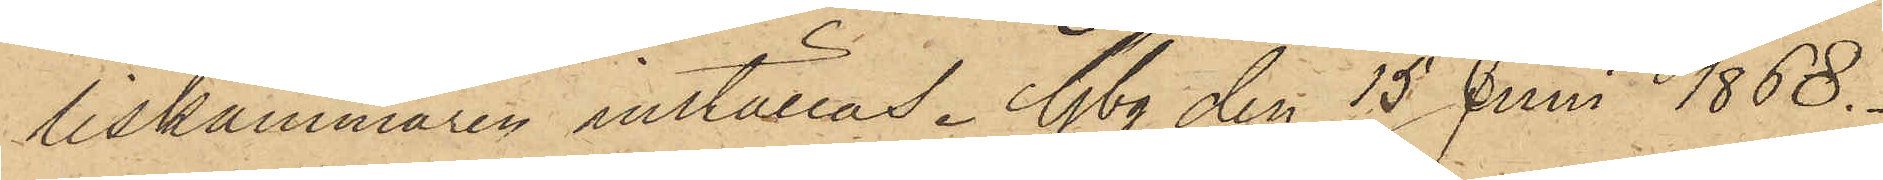liskammaren inställas. Gbg den 15 Juni 1868.
